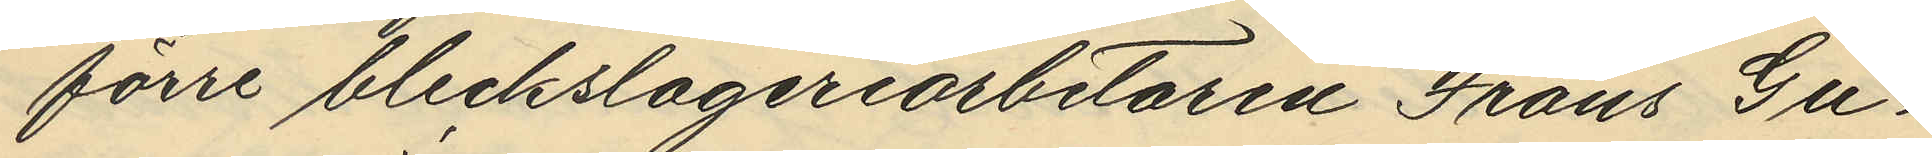förre bleckslageriarbetaren Frans Gu¬
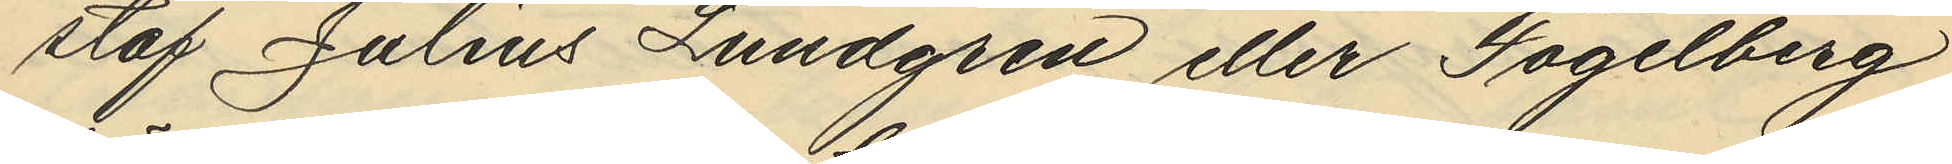staf Julius Lundgren eller Fogelberg
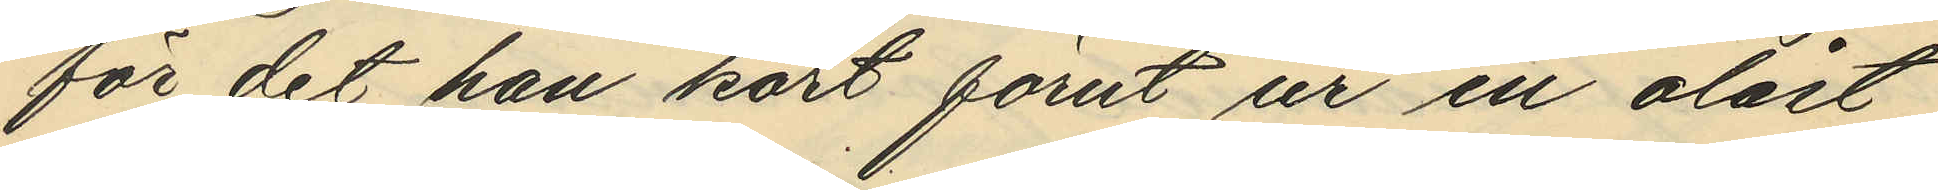för det han kort förut ur en olåst
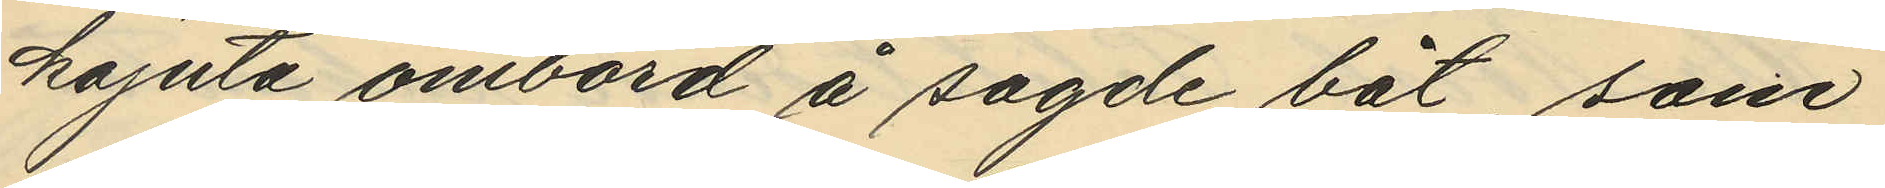kajuta ombord å sagde båt, som
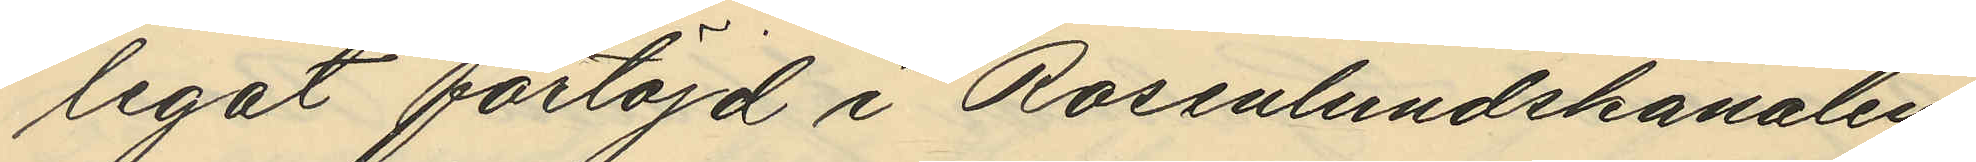legat förtöjd i Rosenlundskanalen
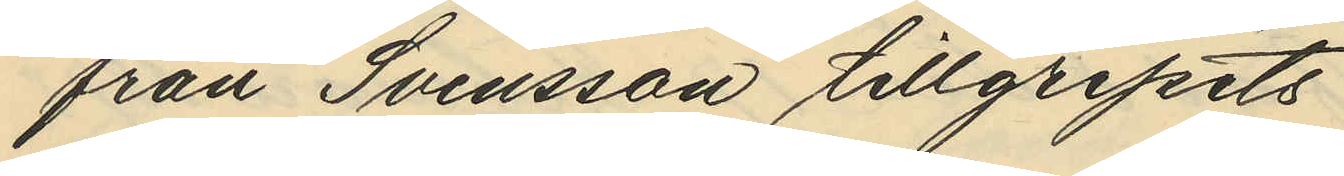från Svensson tillgripits
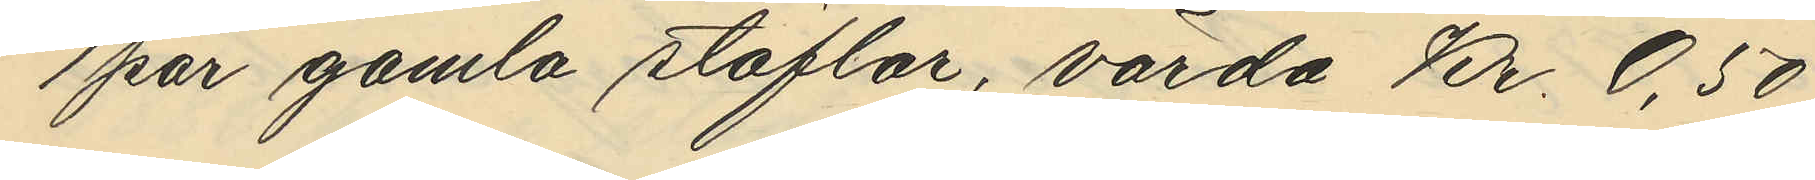1 par gamla stöflar, värda Kr. 0,50
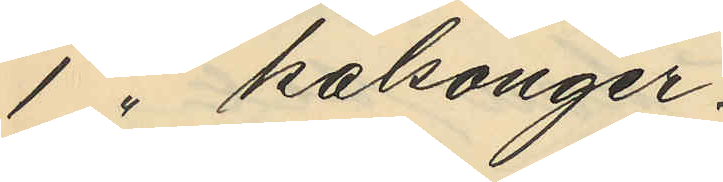1 " kalsonger
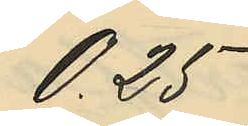0,25
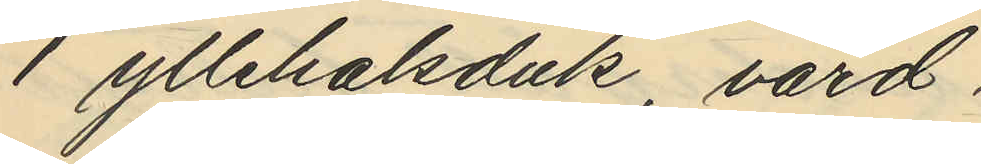1 yllehalsduk, värd
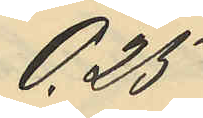0,25
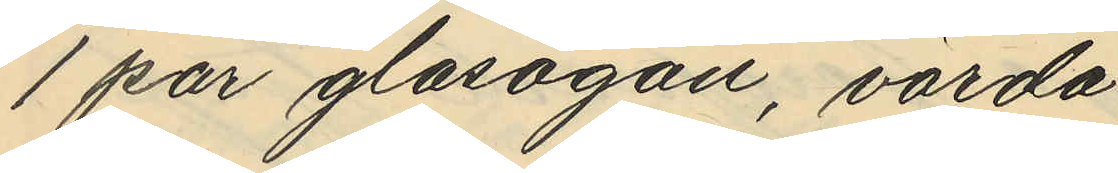1 par glasögan, värda
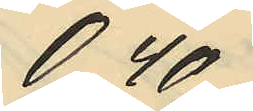040
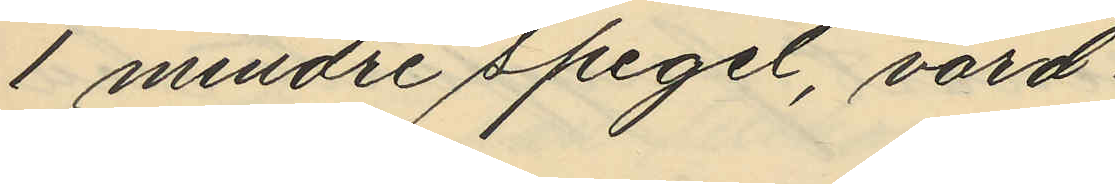1 mindre spegel, värd
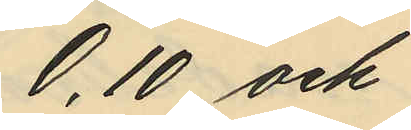0,10 och
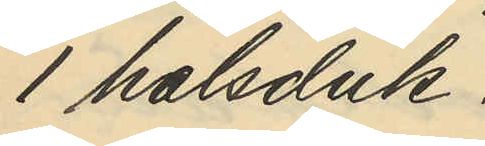1 halsduk.
